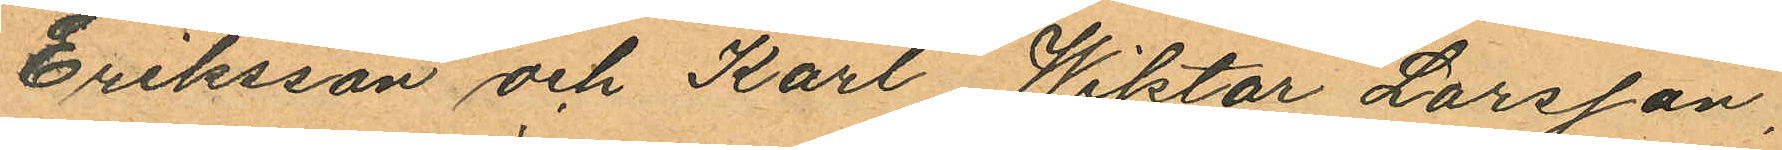Eriksson och Karl Wiktor Larsson,
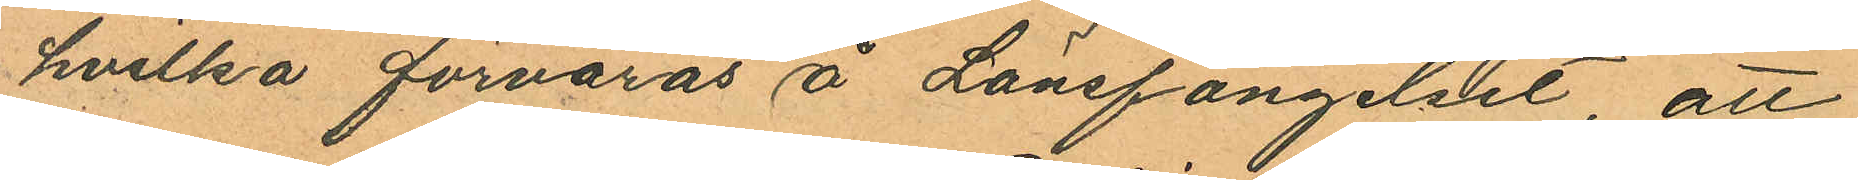hvilka förvaras å Länsfängelset, att
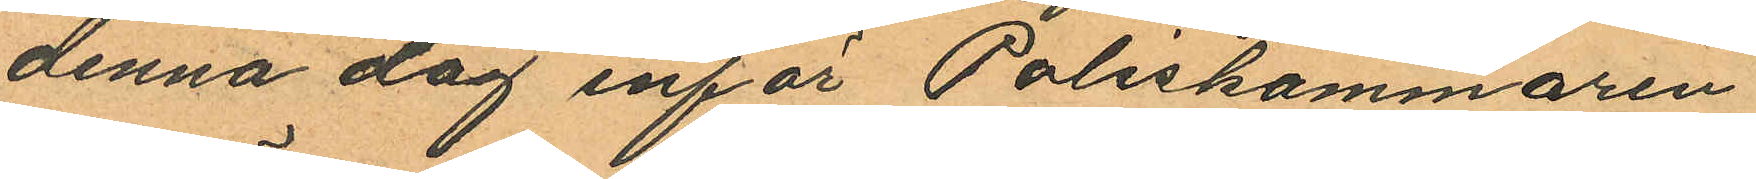denna dag inför Poliskammaren
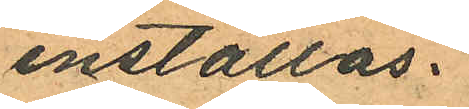inställas.
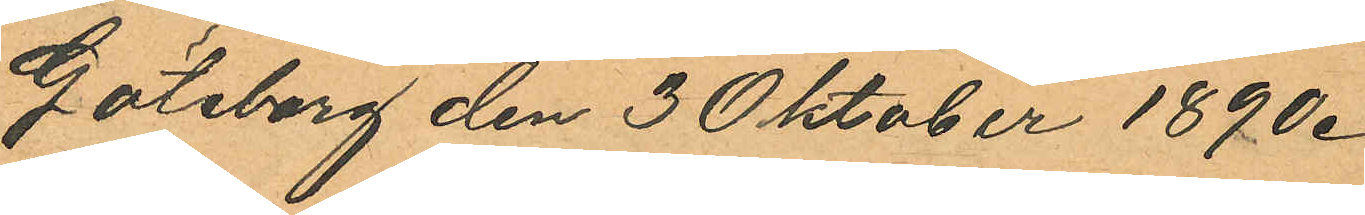Göteborg den 3 Oktober 1890.
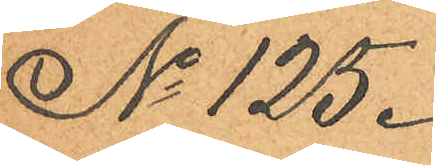No 125.
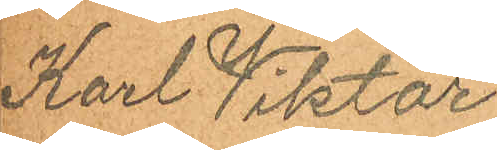Karl Viktor
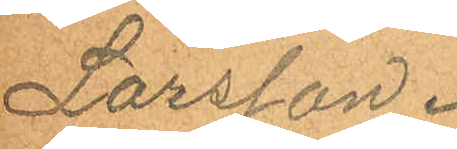Larsson.
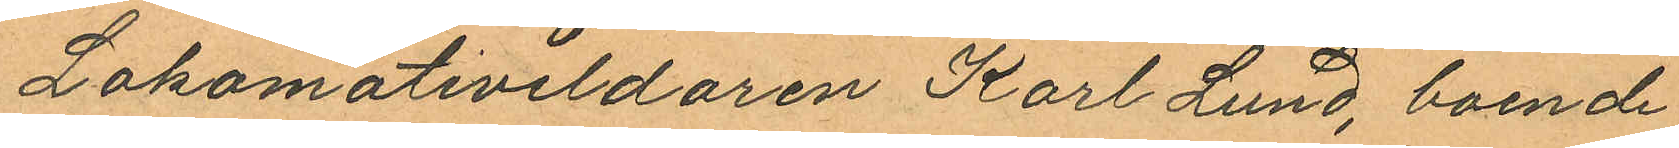Lokomotiveldaren Karl Lund, boende
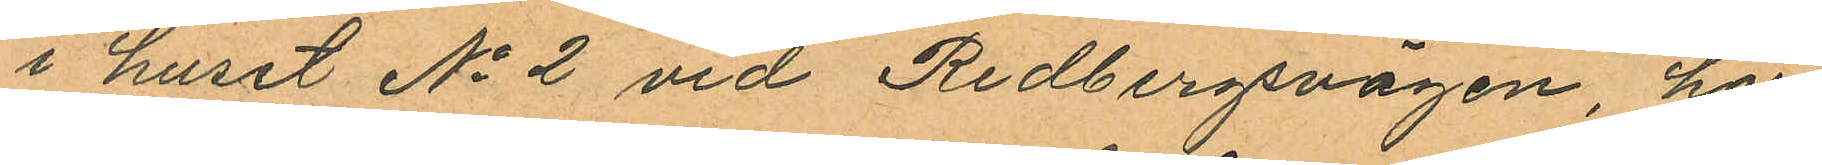i huset No 2 vid Redbergsvägen, har
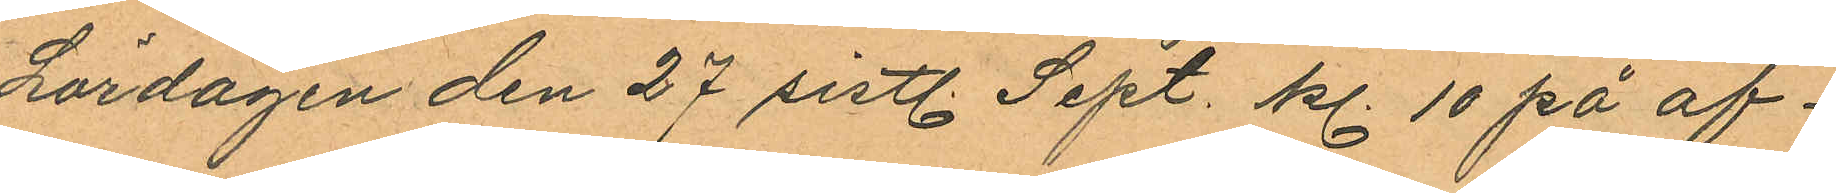Lördagen den 27 sistl. Sept. kl. 10 på af¬
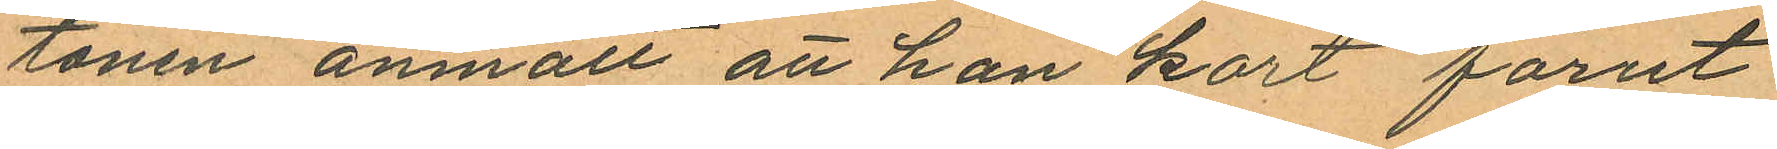tonen anmält att han kort förut
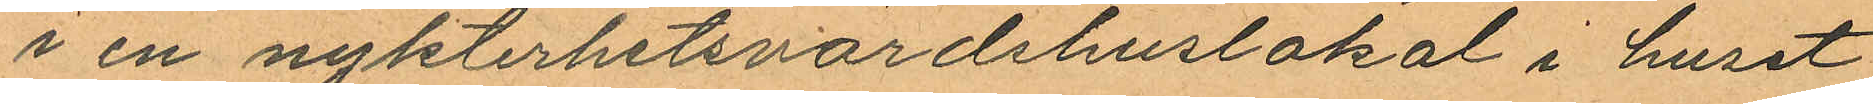i en nykterhetsvärdshuslokal i huset
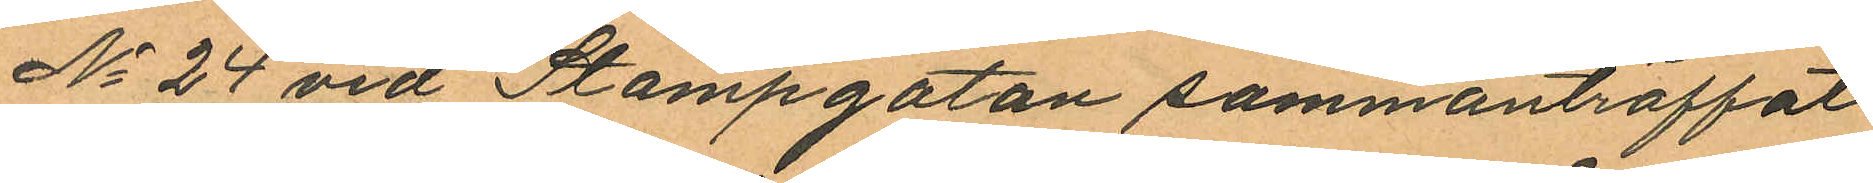No 24 vid Stampgatan sammanträffat
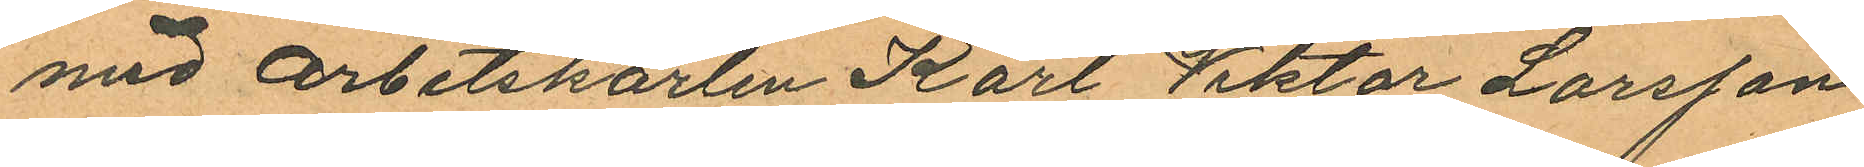med arbetskarlen Karl Viktor Larsson
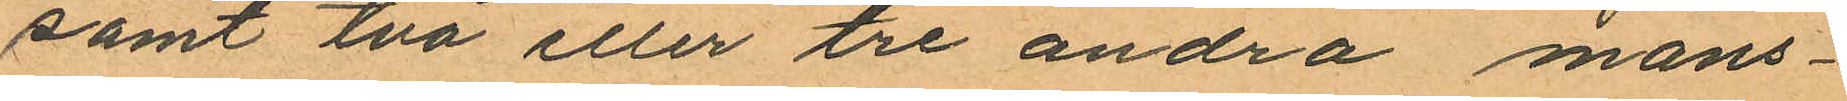samt två eller tre andra mans¬
